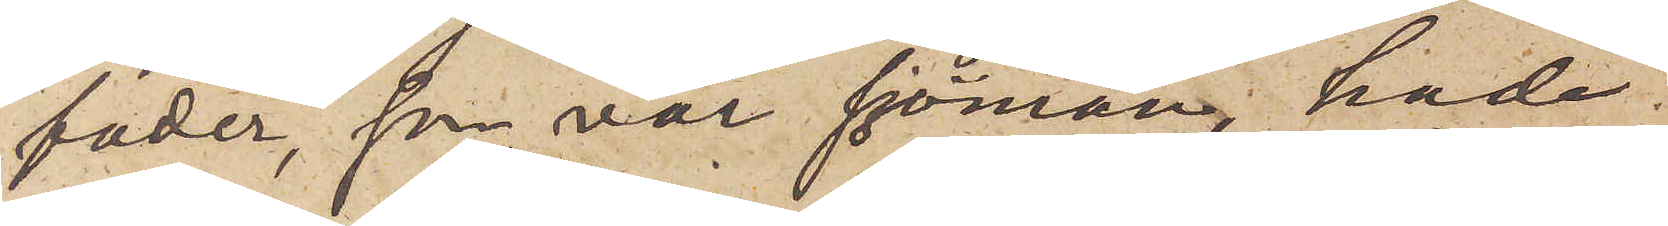fader, som var sjörman, hade
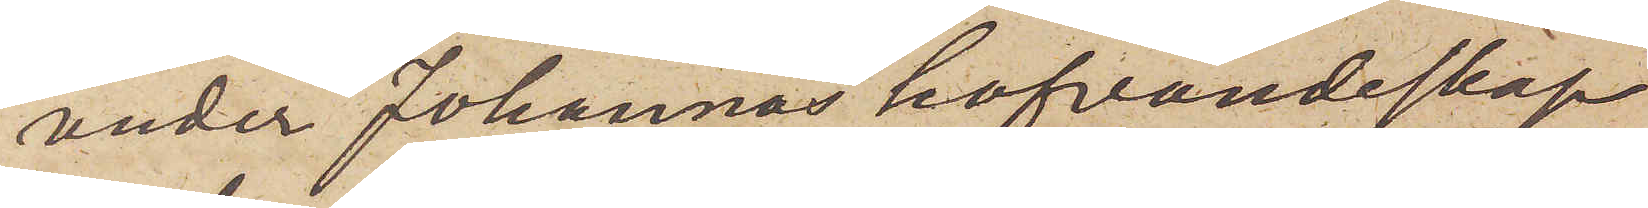under Johannas hafvandeskap
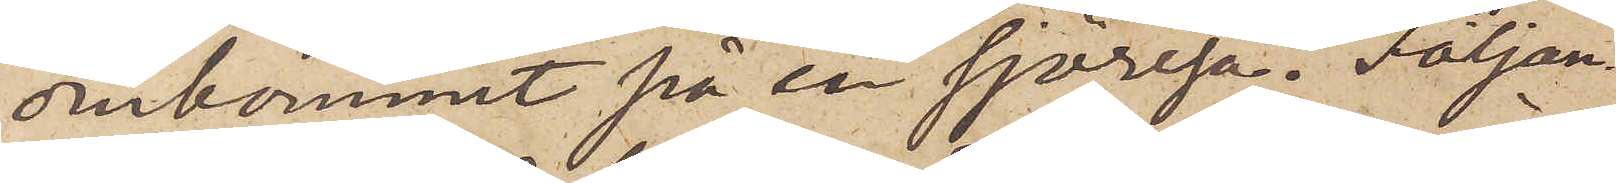omkommit på en sjöresa. Följan¬
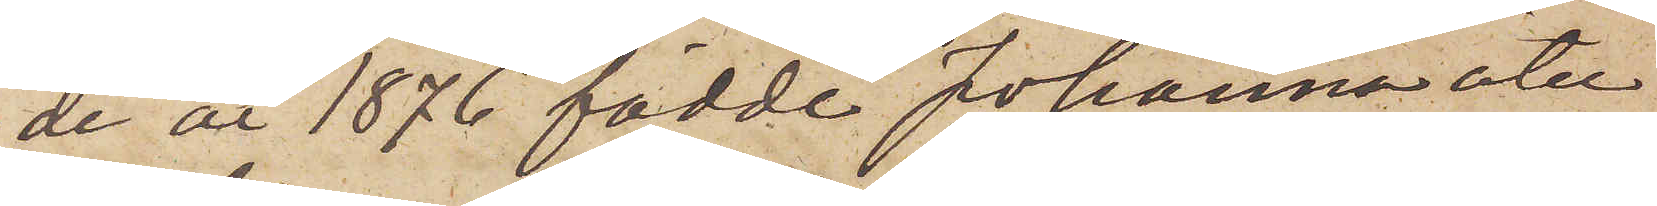de år 1876 födde Johanna åter
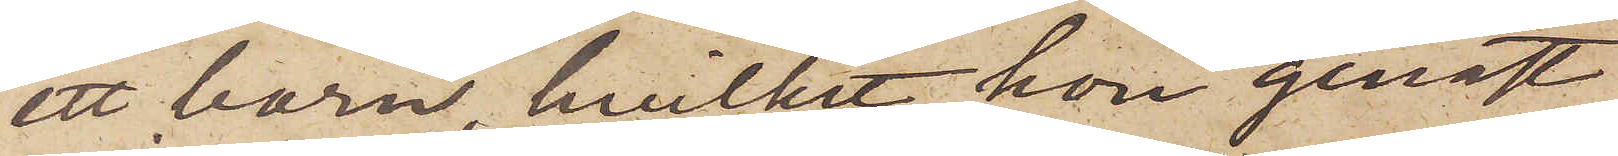ett barn, hvilket hon genast
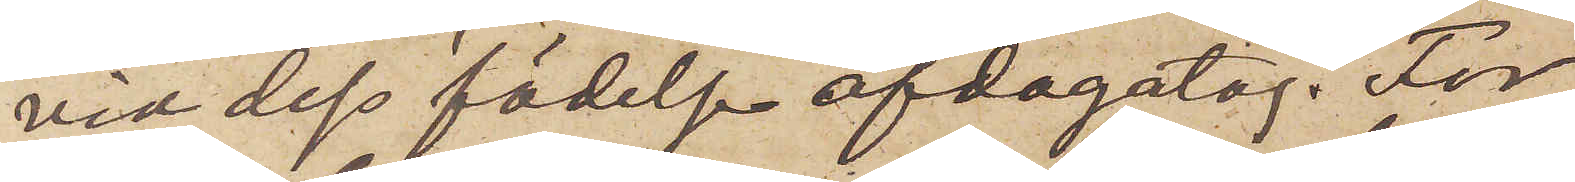vid dess födelse afdagatog. För
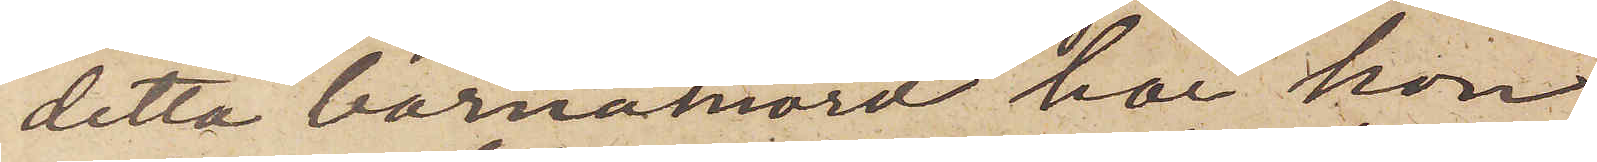detta barnamord har hon
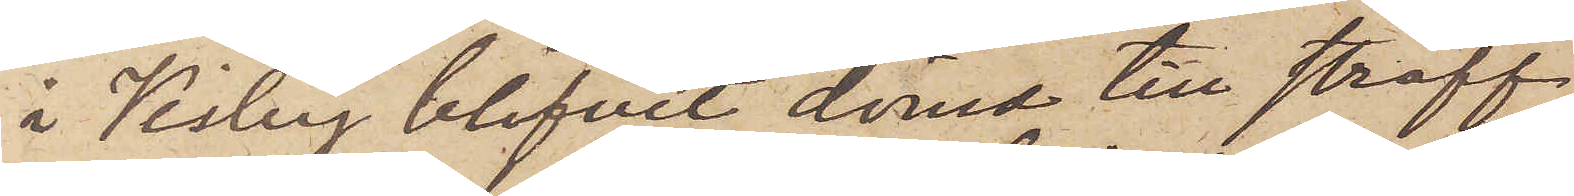i Visby blifvit dömd till straff¬
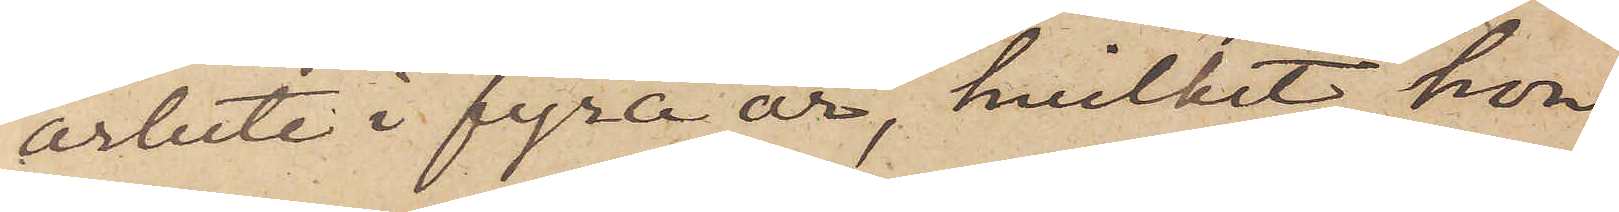arbete i fyra år, hvilket hon
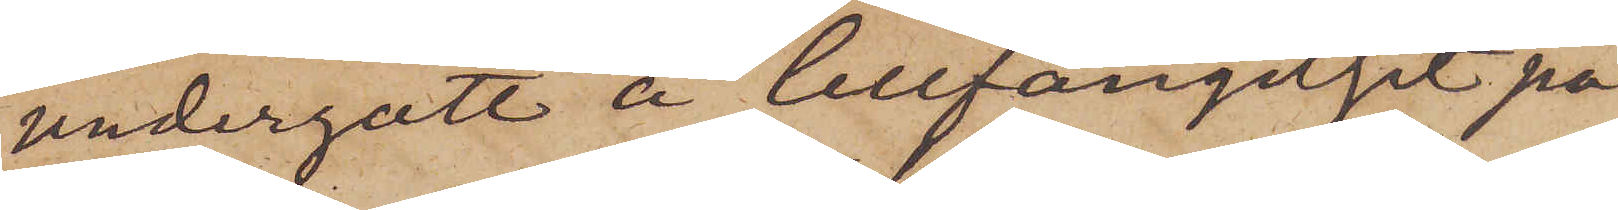undergått å Cellfängelset på
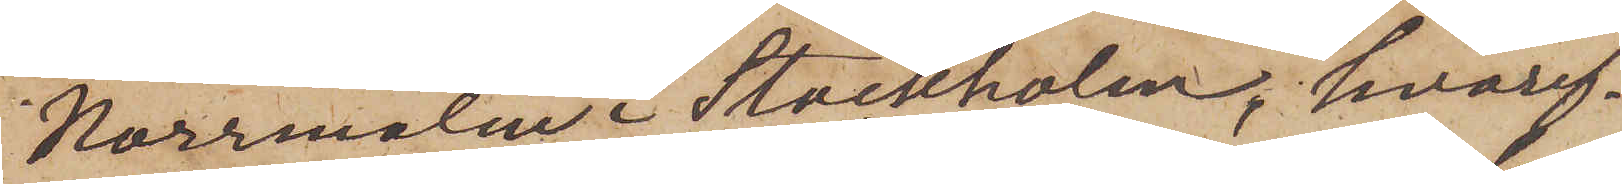Norrmalm i Stockholm, hvaref¬
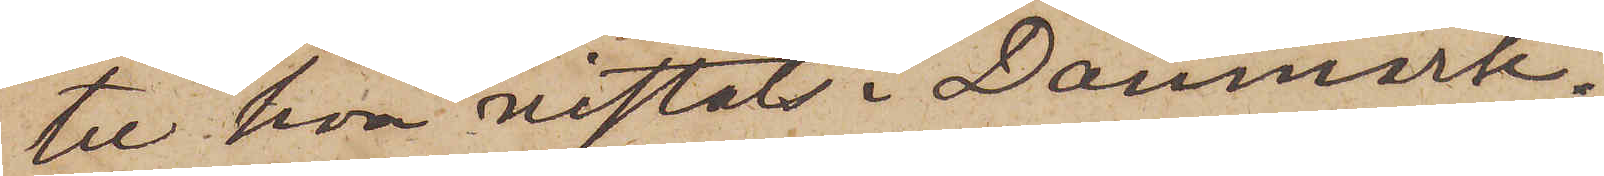ter hon vistats i Danmark.
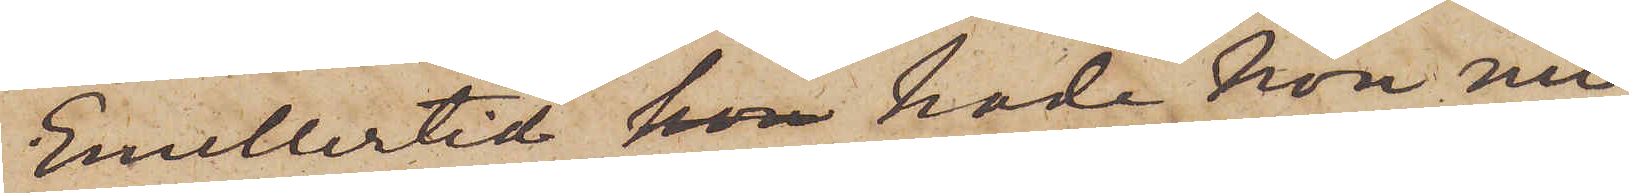Emellertid  hade hon nu,
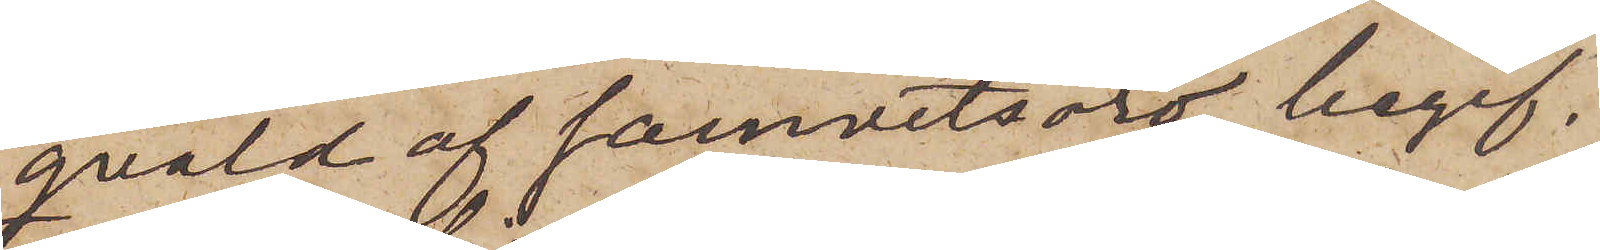quald af samvetsoro, begif¬
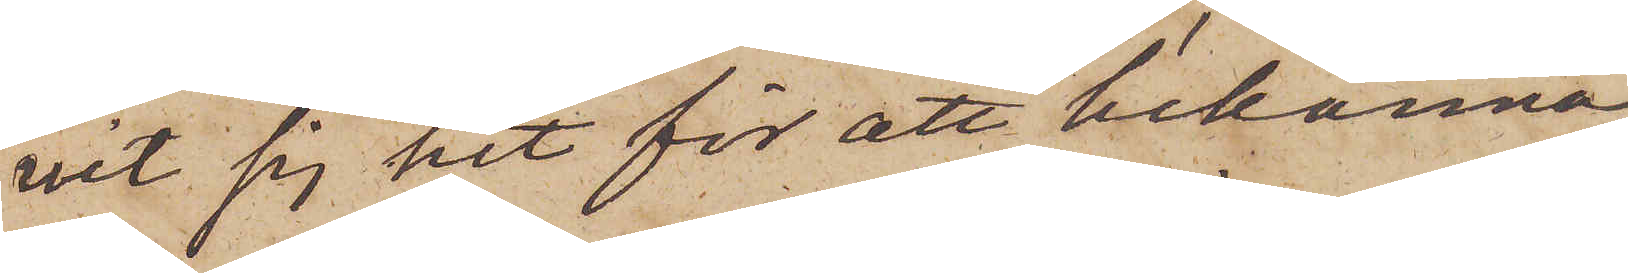vit sig hit för att bekänna
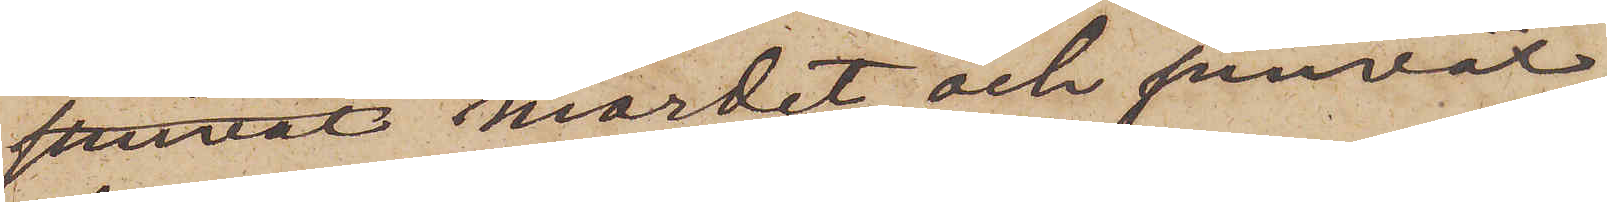mordet och jemväl
